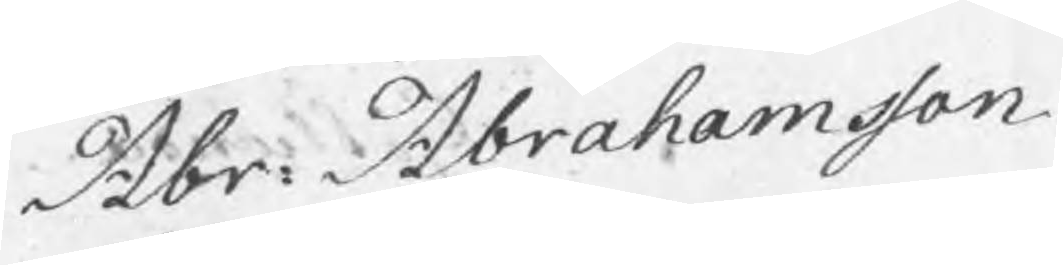Abr: Abrahamsson
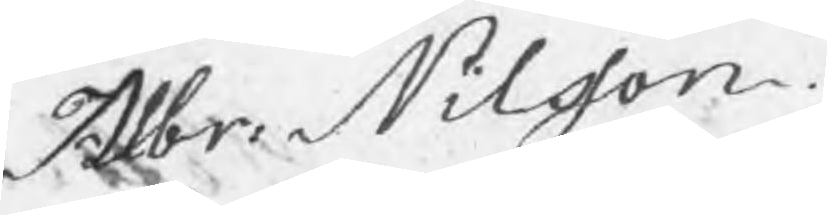Albr: Nilsson.
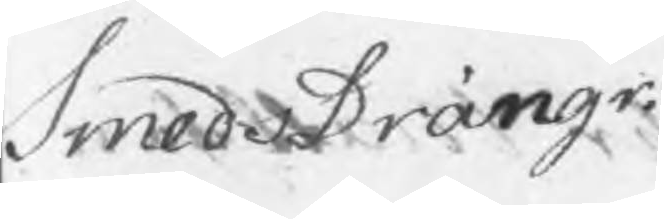SmedsDrängr.
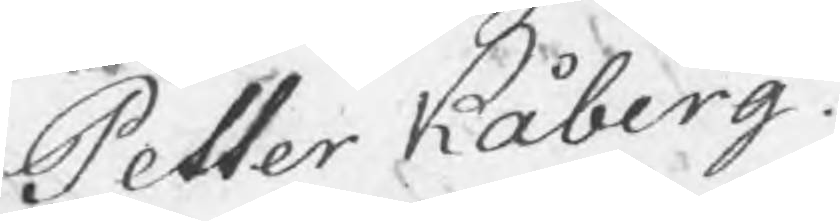Petter Kåberg.
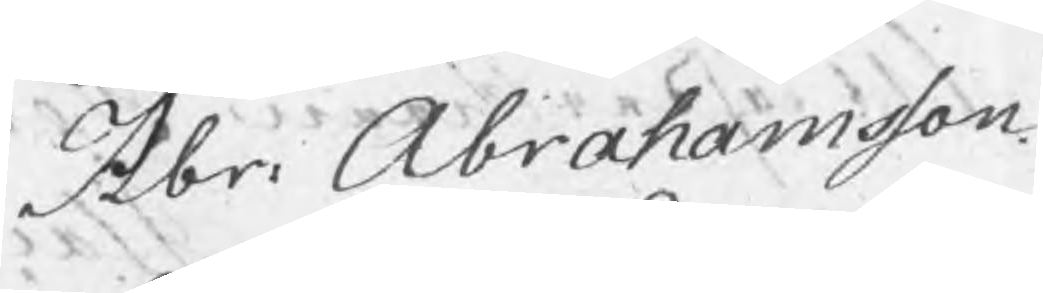Abr: Abrahamsson.
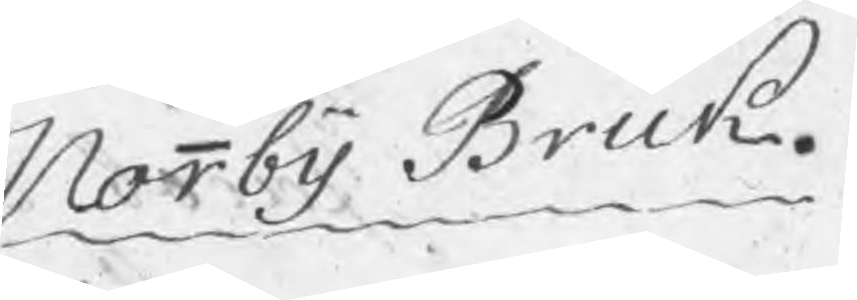Norrby Bruk.
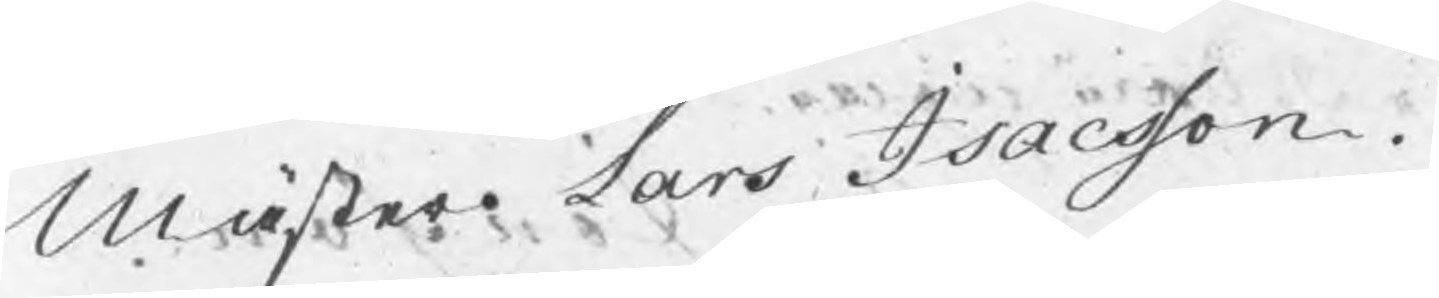Mäster Lars Isacsson.
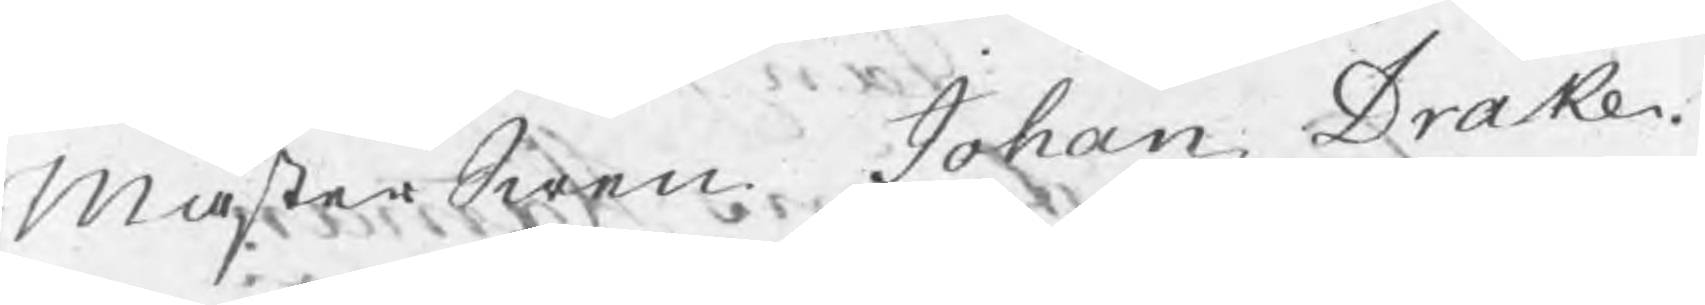MästerSwen Johan Drake.
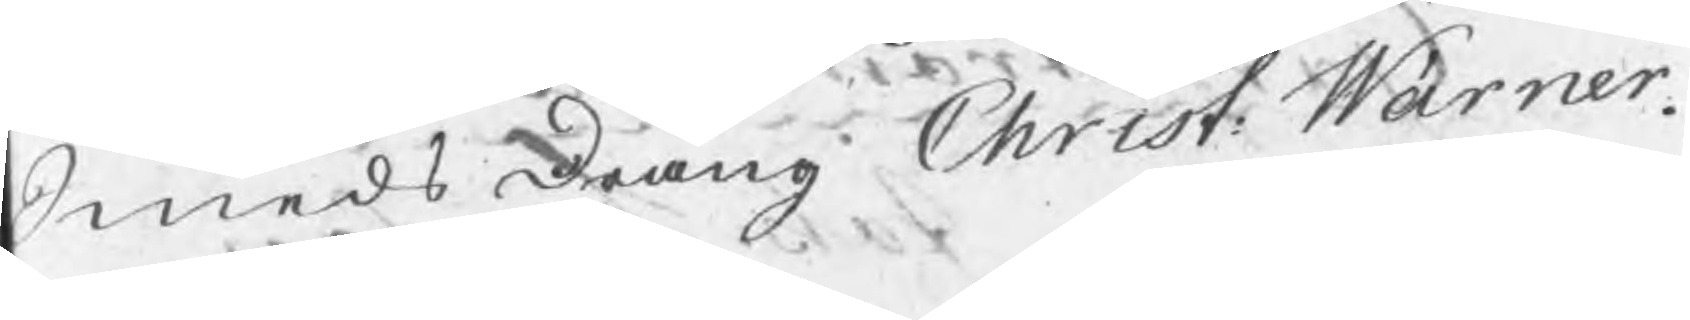SmedsDräng Christ: Wärner.
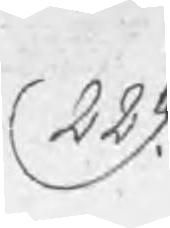229.
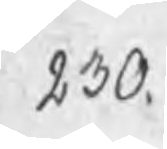230.
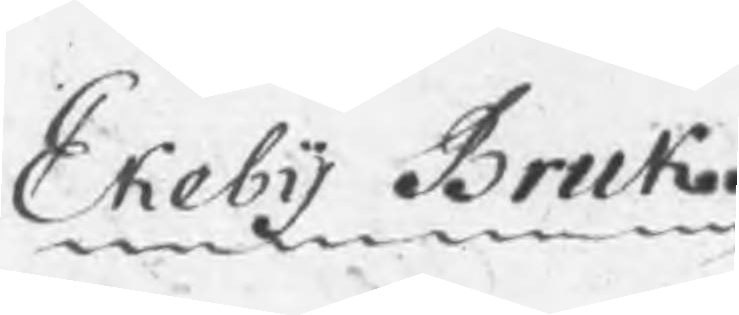Ekeby Bruk.
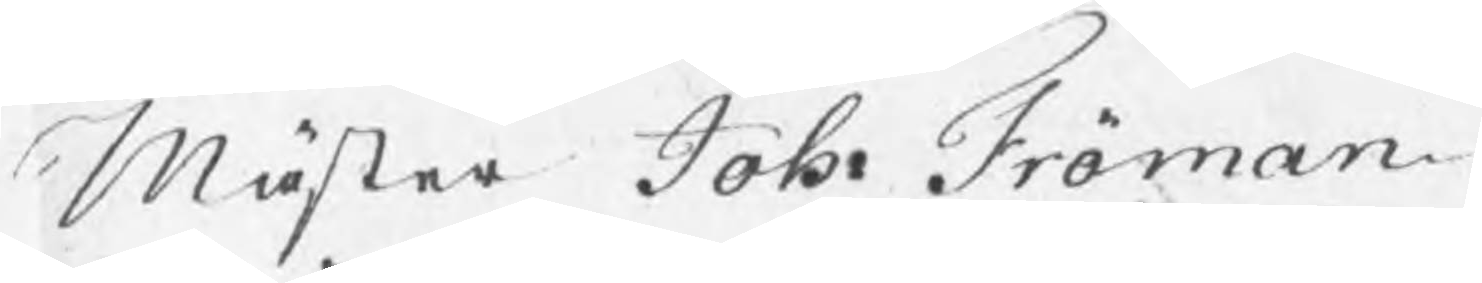Mäster Joh: Fröman
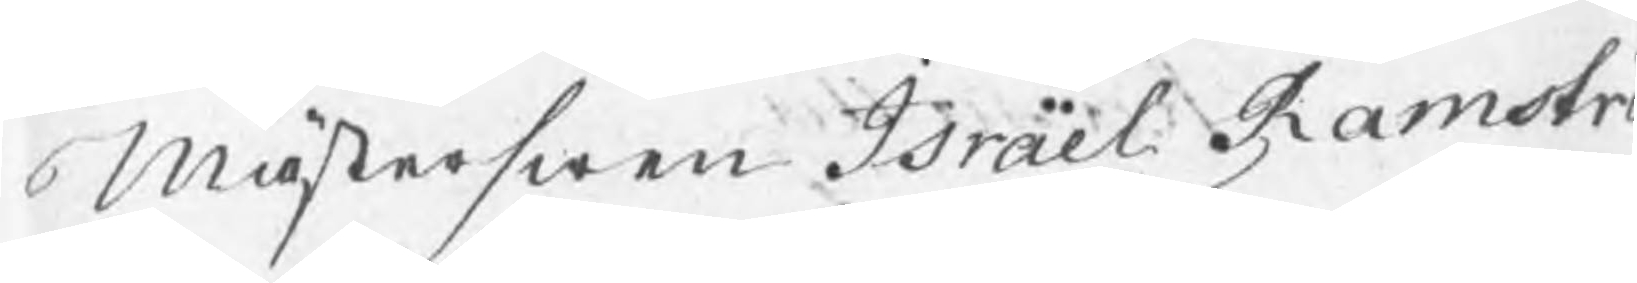Mästerswen Israel Ramströ
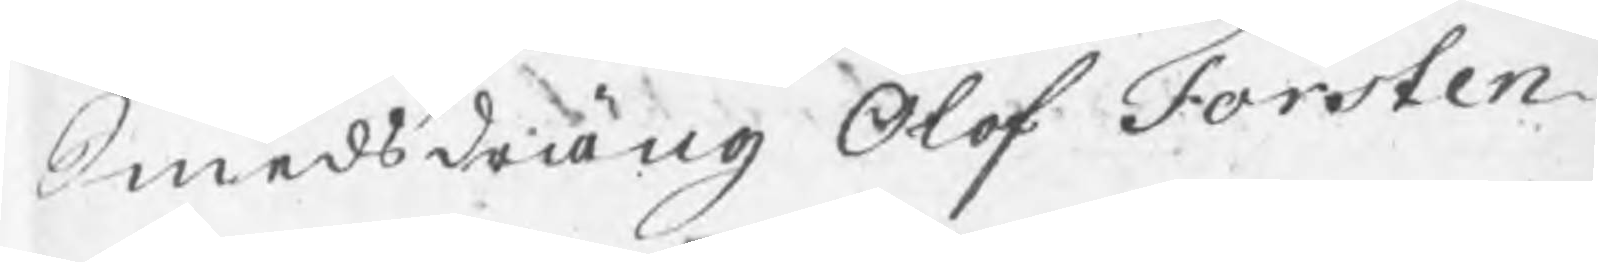Smedsdräng Olof Forsten.
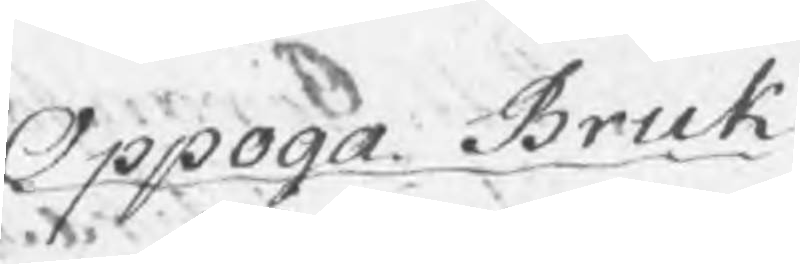Oppoga Bruk
